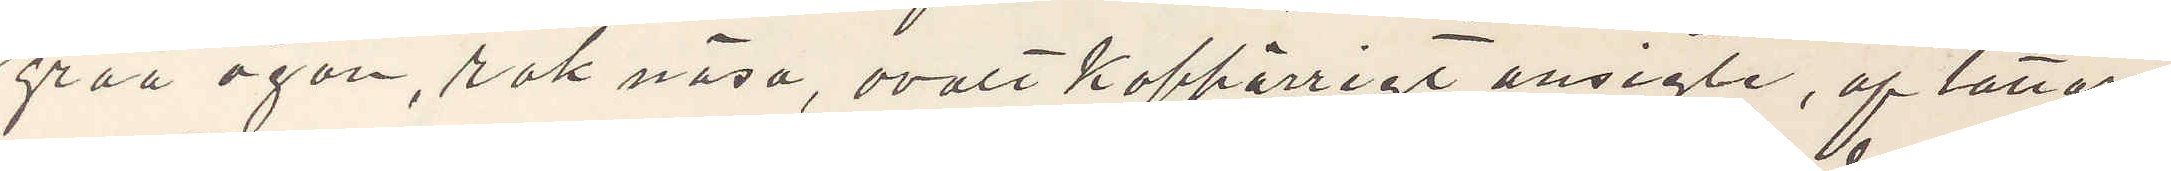gråa ögon, rak näsa, ovalt koppårrigt ansigte, af Tattare¬
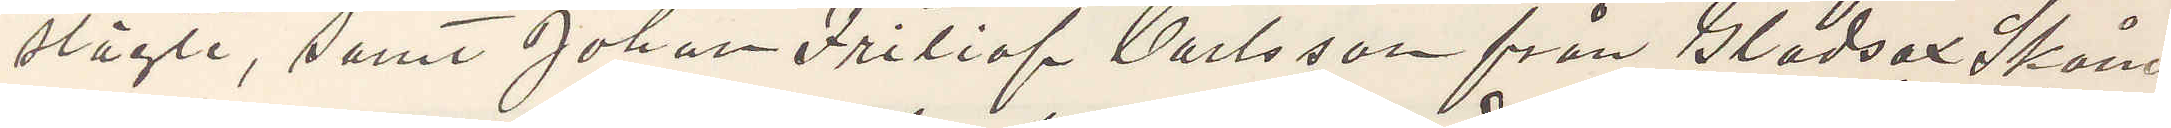slägte, samt Johan Fritiof Carlsson från Gladsax Skåne¬
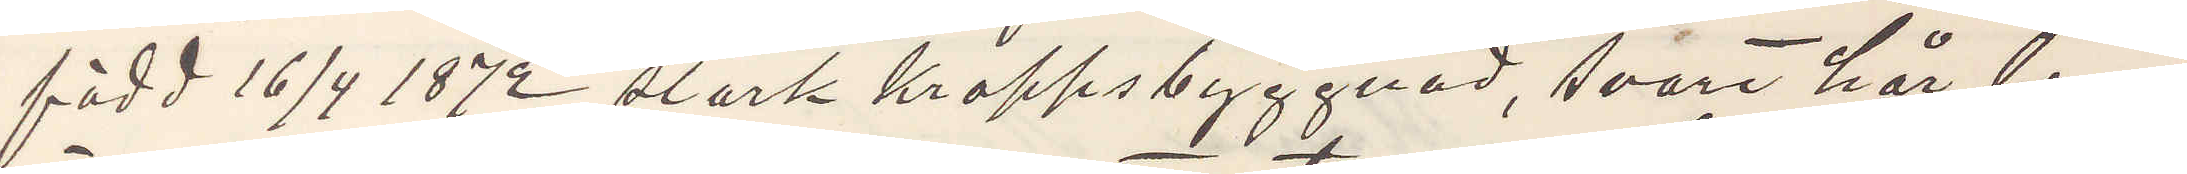född 16/4 1872 stark kroppsbyggnad, svart hår, bruna
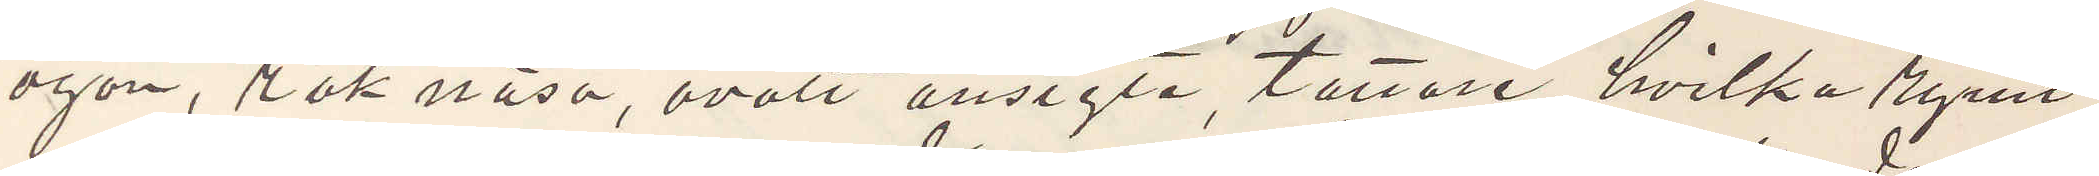ögon, rak näsa, ovalt ansigte, tattare, hvilka rymt
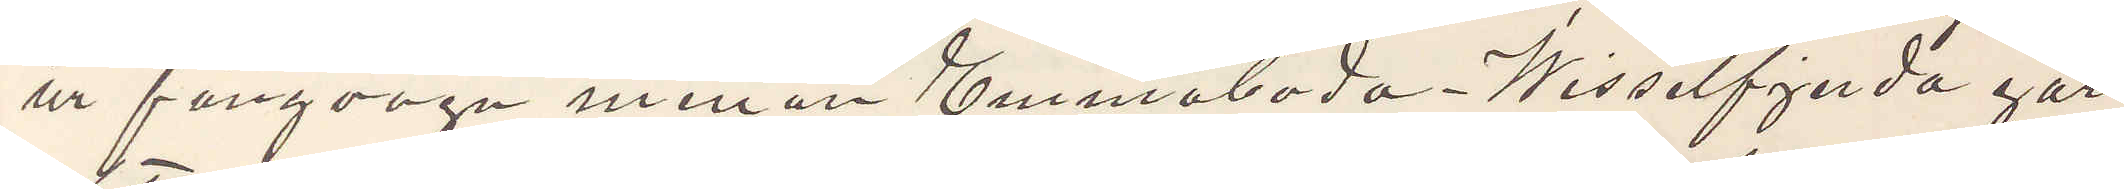ur fångvagn mellan Emmaboda Wisselfjerda går
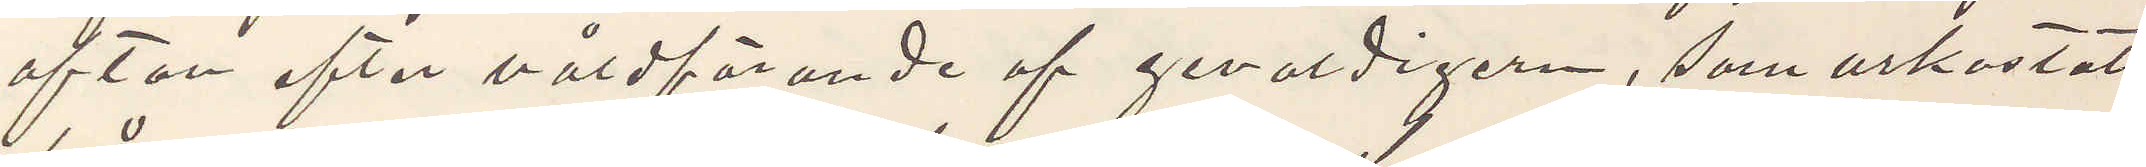afton efter våldförande af gevaldigern, som urkastats
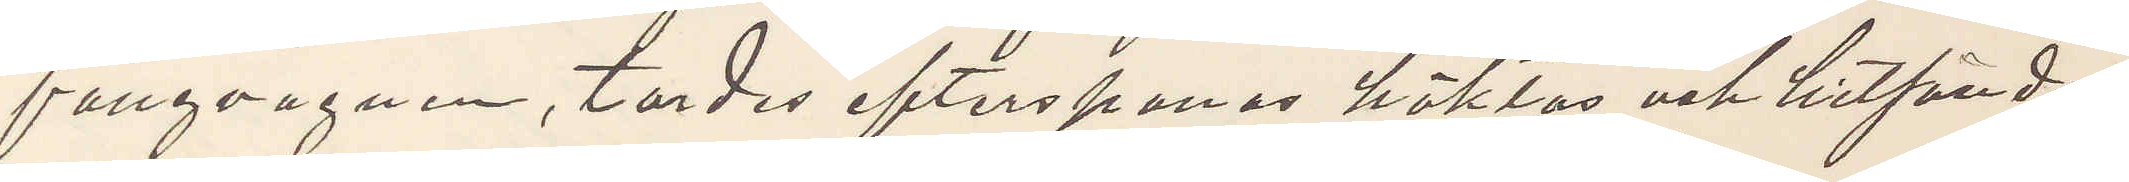fångvagnen, tordes efterspanas häktas och hitsändas
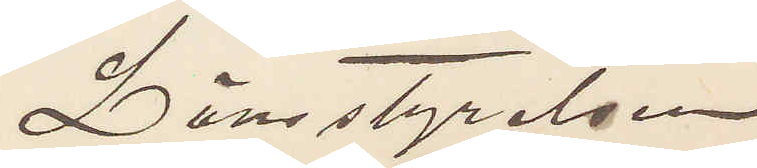Länstyrelsen
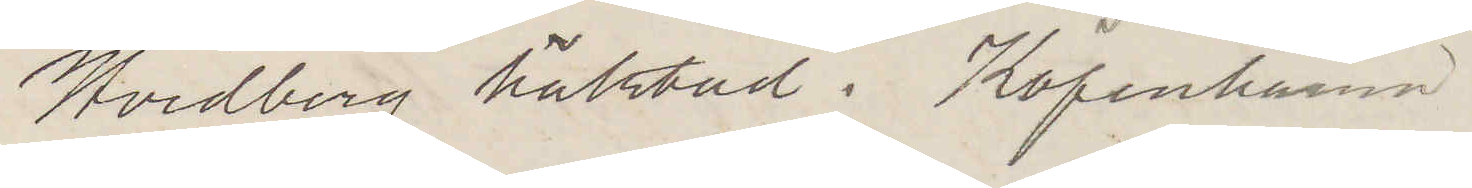Hvidberg häktad i Köpenhamn
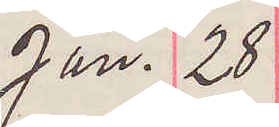Jan. 28
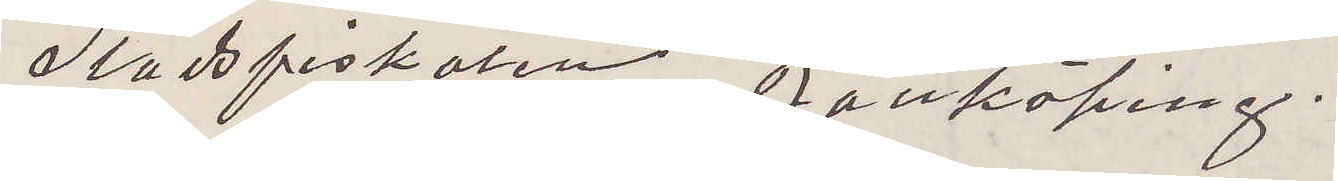Stadsfiskalen Jönköping.
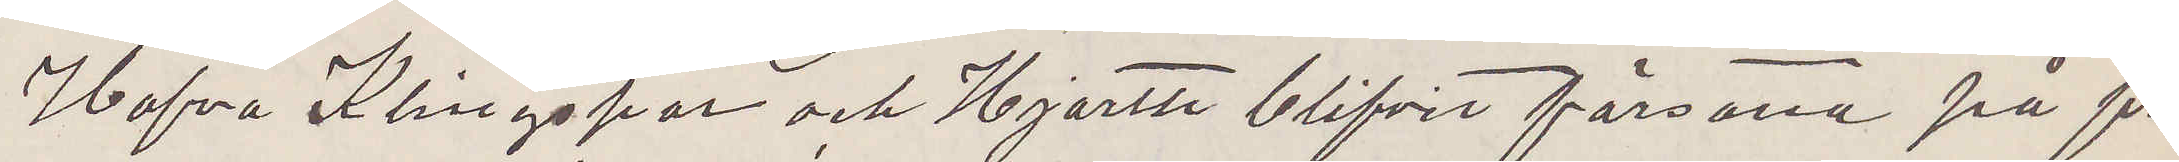Hafva Klingspor och Hjorth blifvit försatta på fri
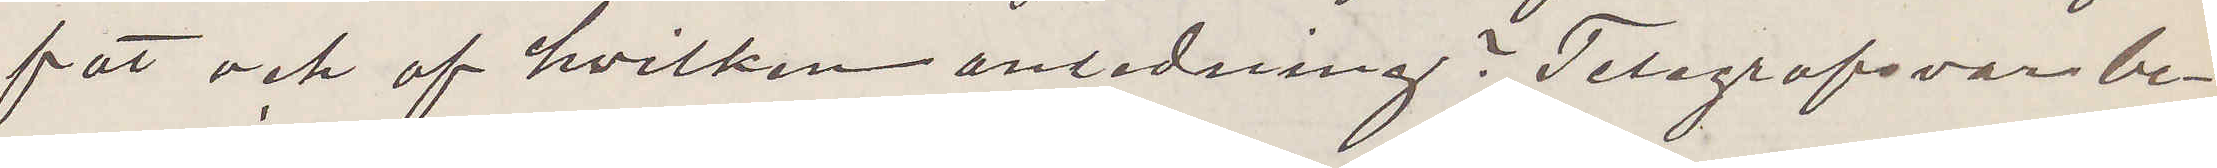fot och af hvilken anledning? Telegrafsvar be¬
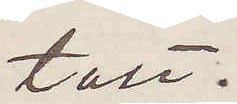talt.
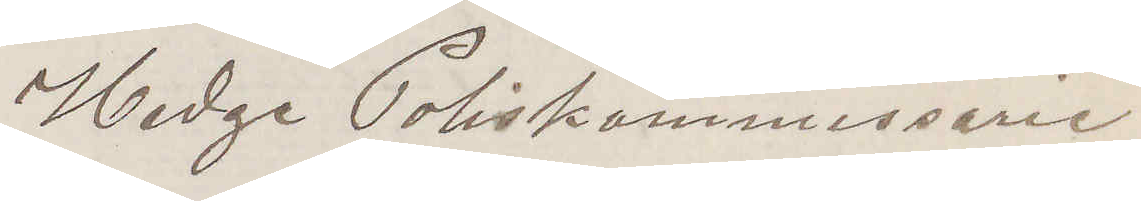Hedge Poliskommissarie
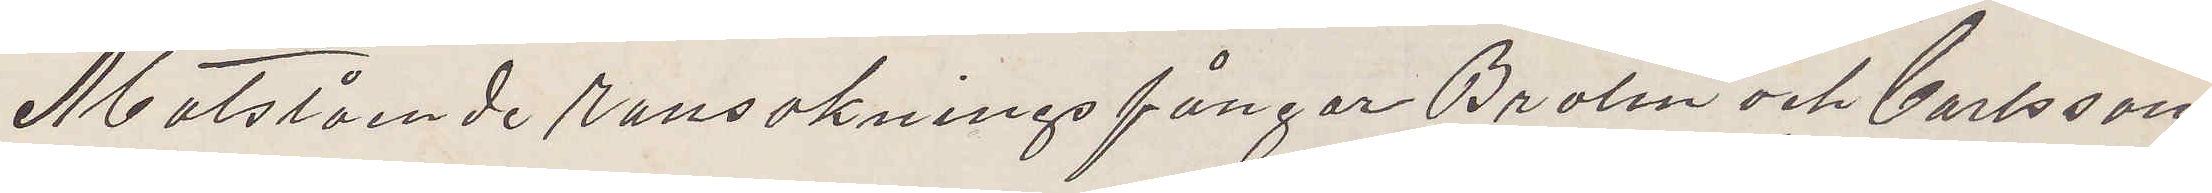Motstående ransakningsfångar Brolin och Carlsson
